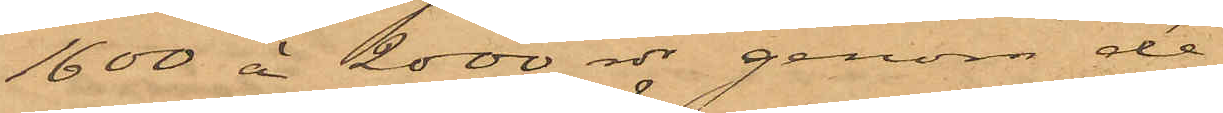1600 á 2000 rdr genom de
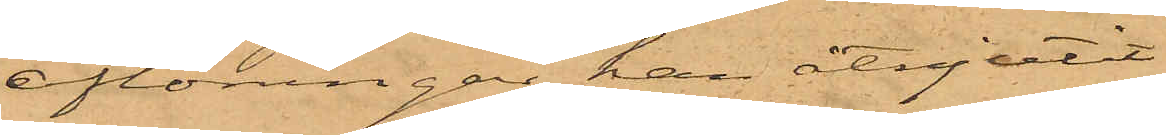aflöningar han åtnjutit
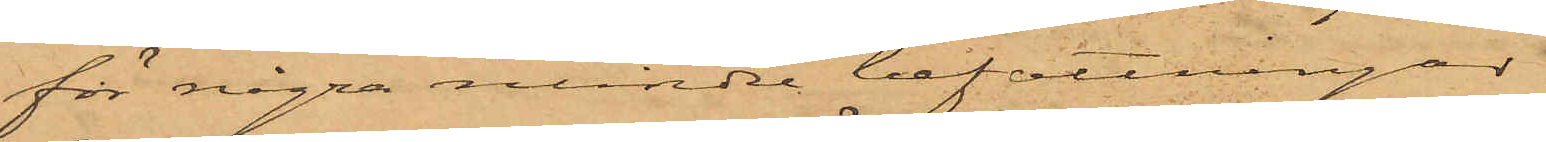för några mindre befattningar
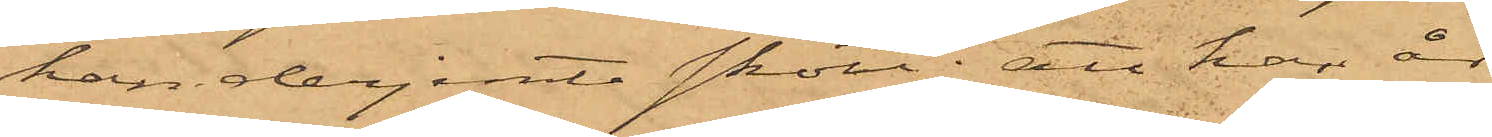han derjemte skött; att han år
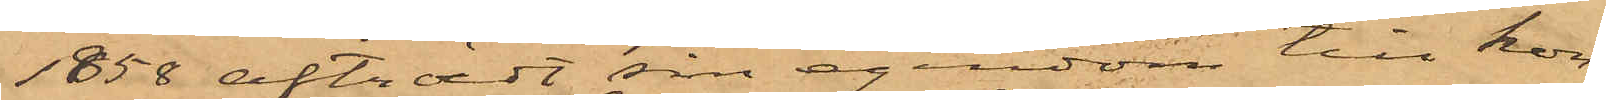1858 afträdt sin egendom till kon¬
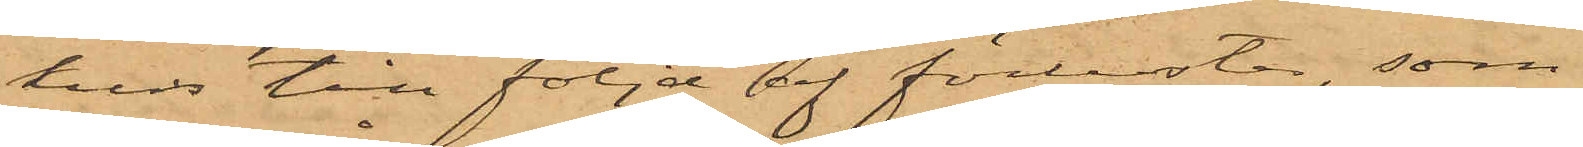kurs till följd af förluster, som
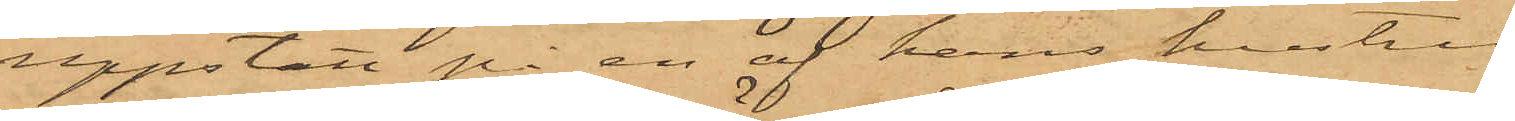uppstått på en af hans hustru
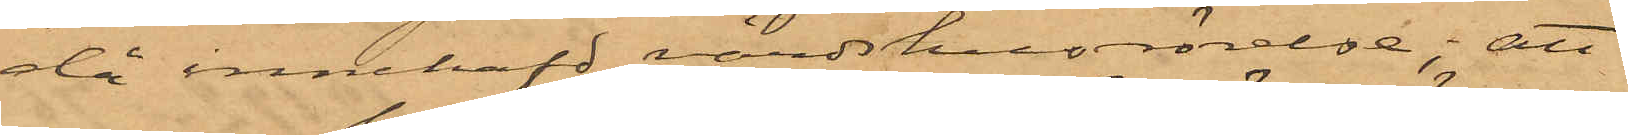då innehafd värdshusrörelse; att
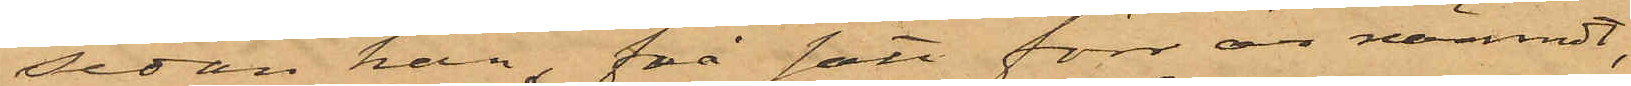sedan han, på sätt förr är nämndt,
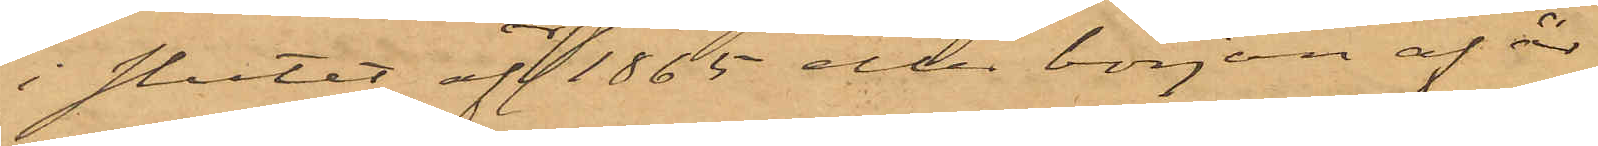i slutet af 1865 eller början af år
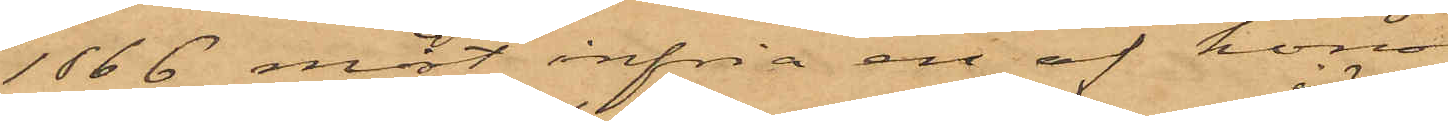1866 måst infria en af honom
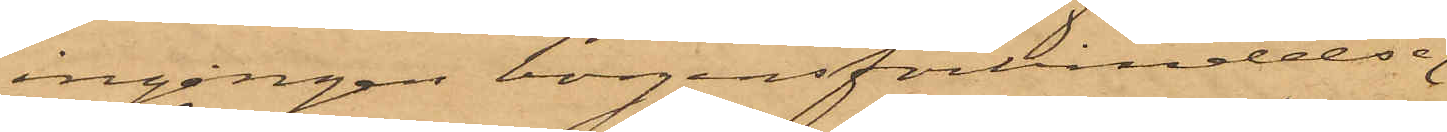ingången borgensförbindelse
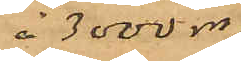å 3000 rdr
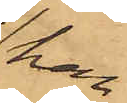han
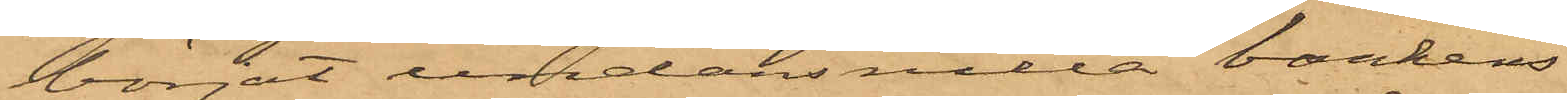börjat undanhålla bankens
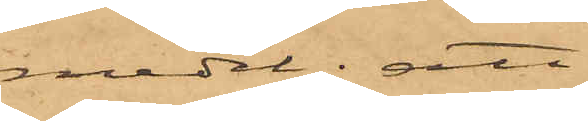medel; att
